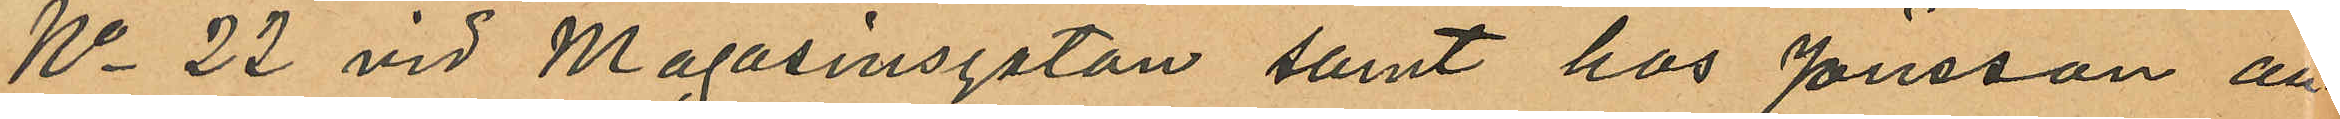No 22 vid Magasinsgatan samt hos Jönsson an¬
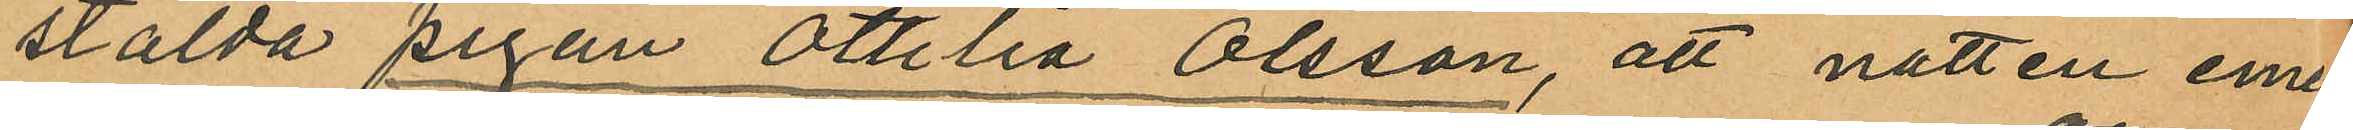stälda pigan Ottilia Olsson, att natten emel
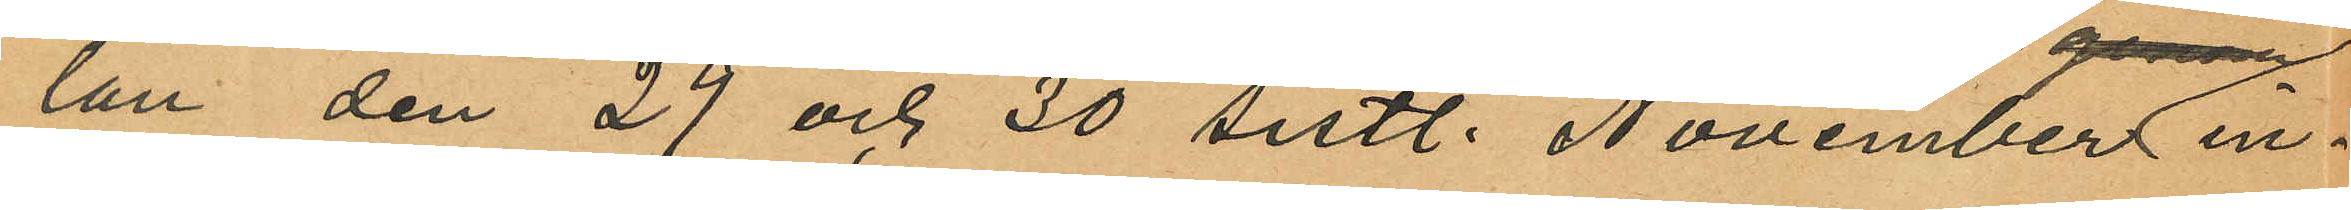lan den 29 och 30 sistl. November in¬
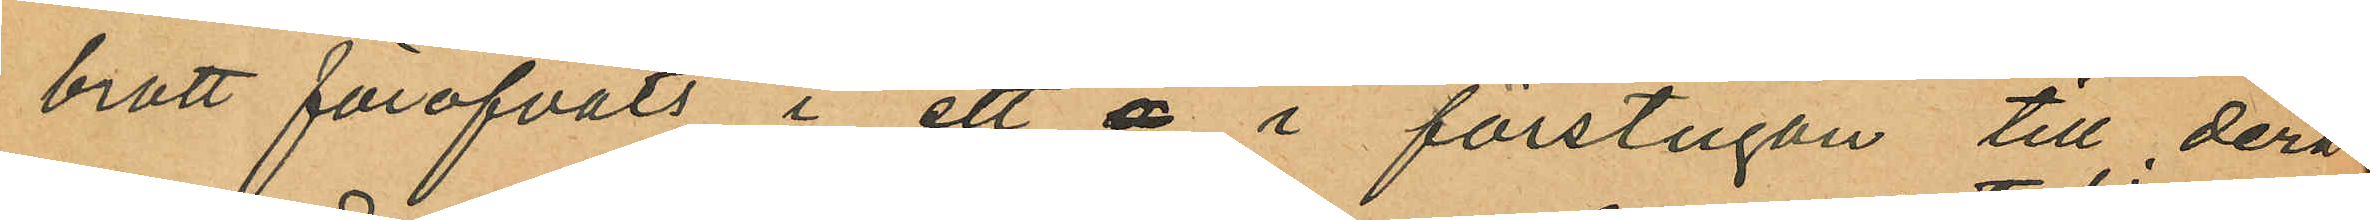brott föröfvats i ett å i förstugan till deras
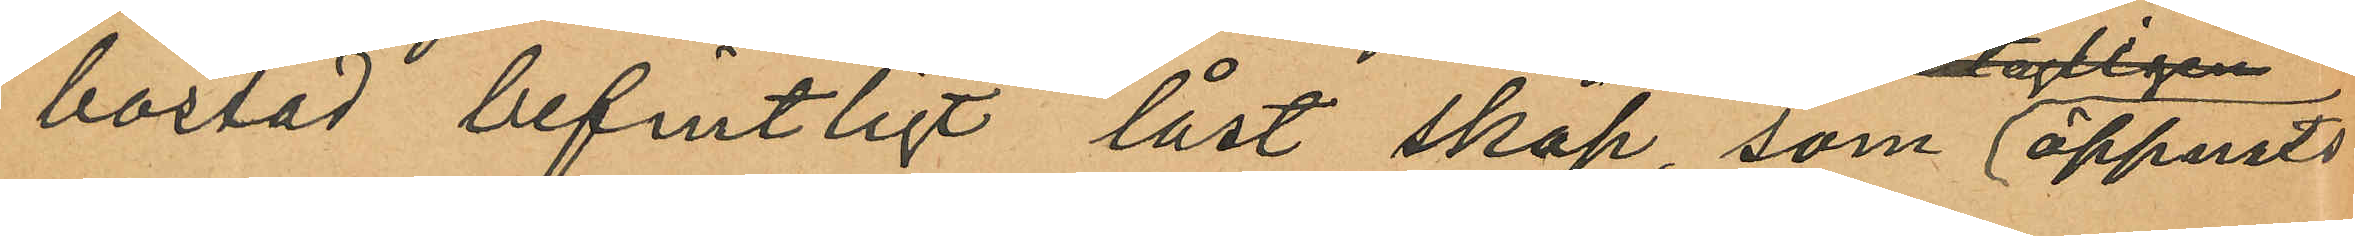bostad befintligt låst skåp, som öppnats
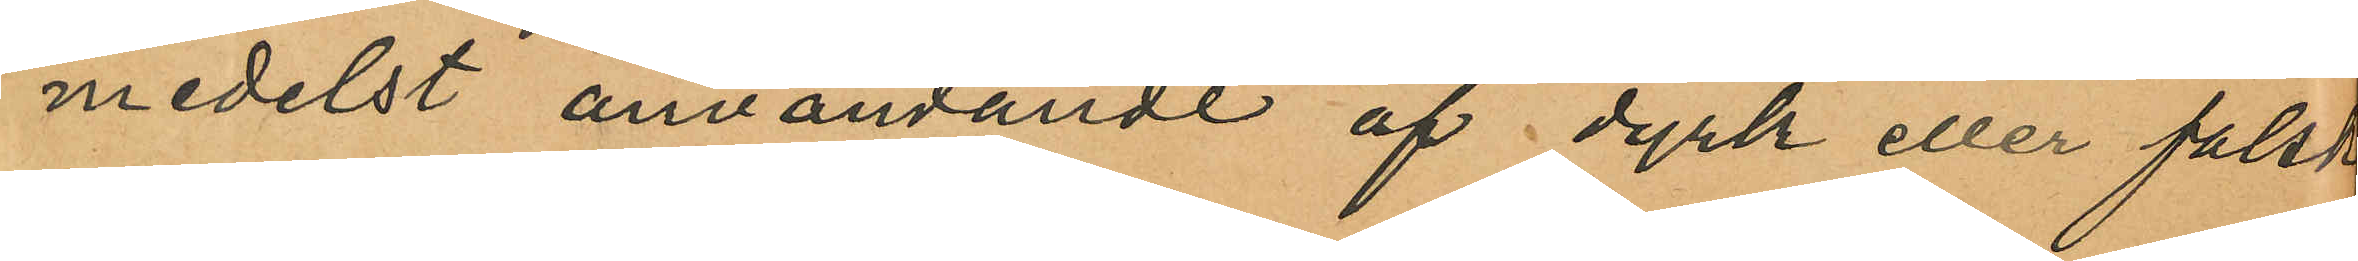medelst användande af dyrk eller falsk
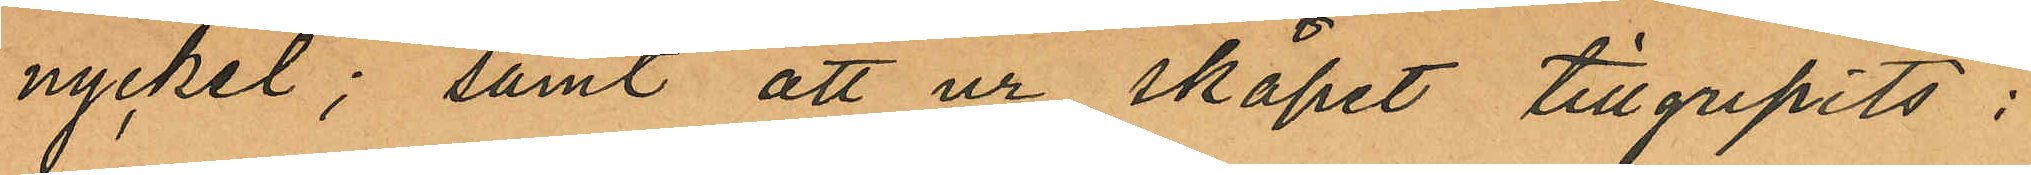nyckel; samt att ur skåpet tillgripits:
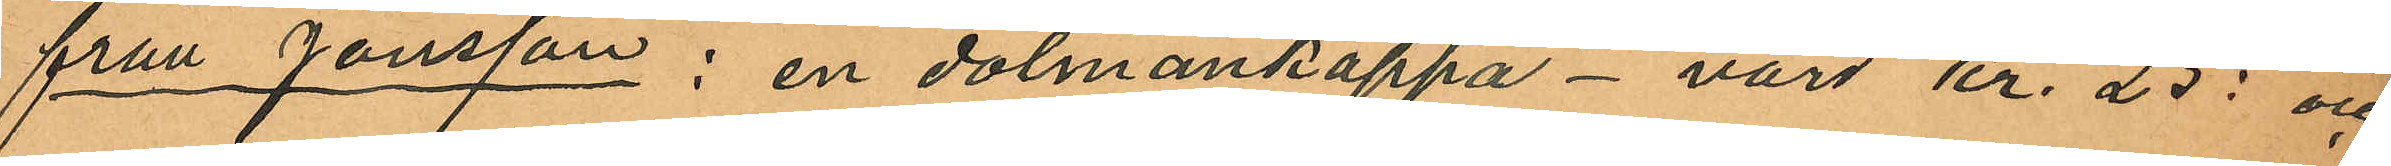från Jönsson: en dolmankappa - värd Kr. 25: och
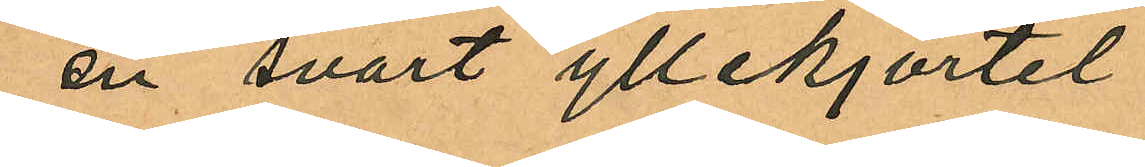en svart yllekjortel
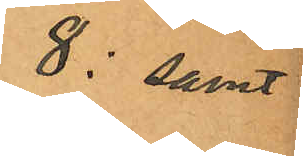8: samt
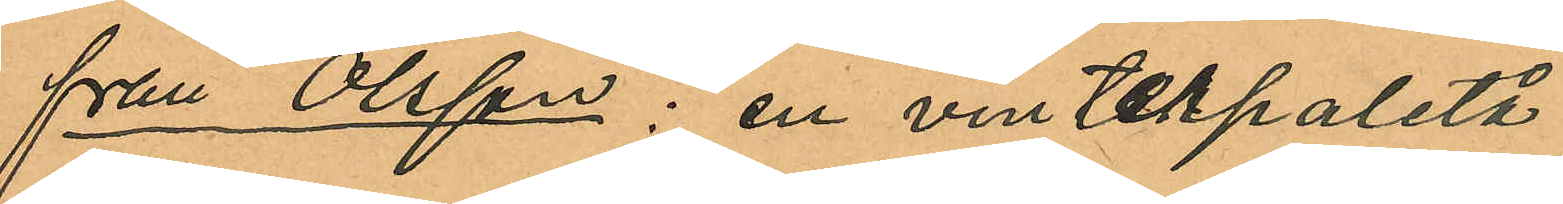från Olsson: en vinterpaletå
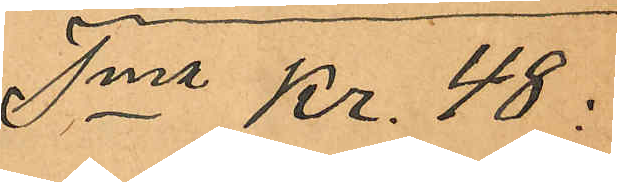Sma Kr. 48:
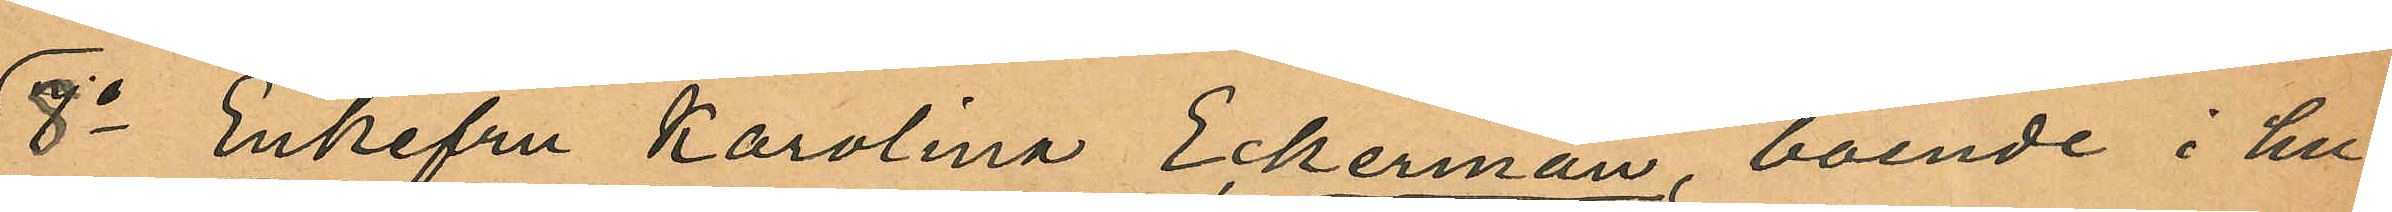8o Enkefru Karolina Eckerman, boende i hu¬
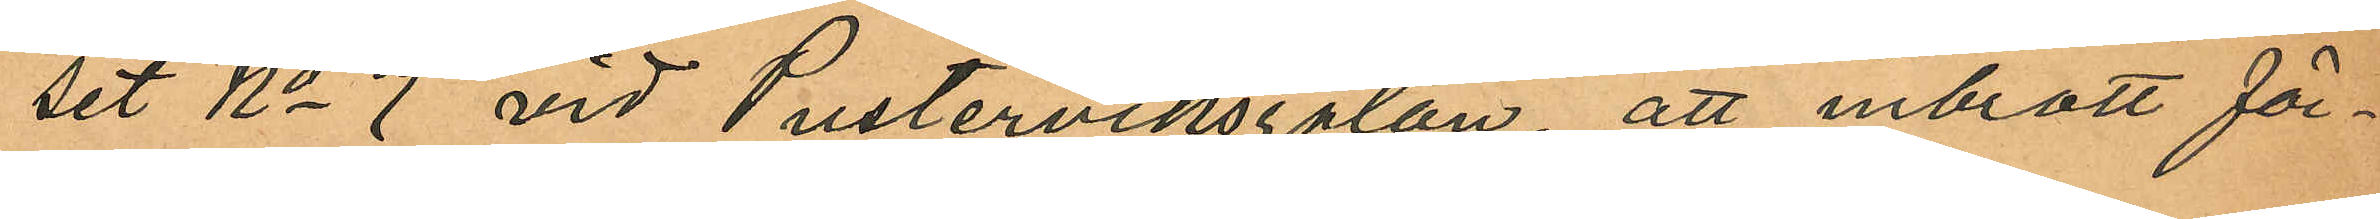set No 7 vid Pusterviksgatan, att inbrott för¬
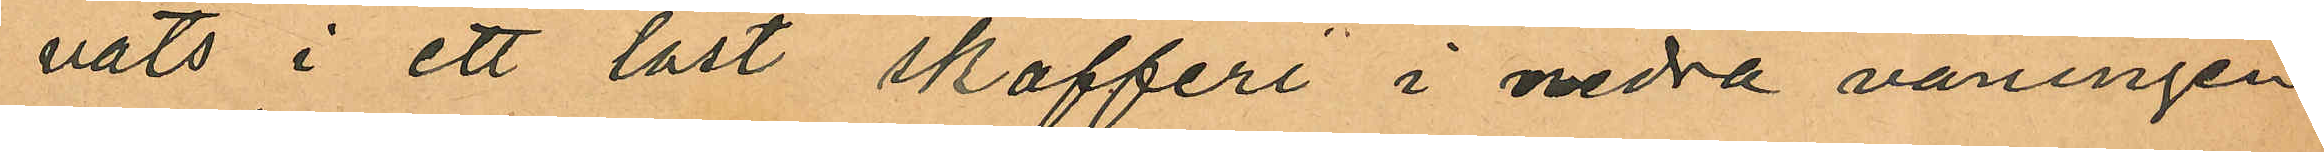vats i ett låst skafferi i nedra våningen
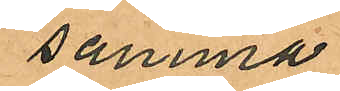samma
